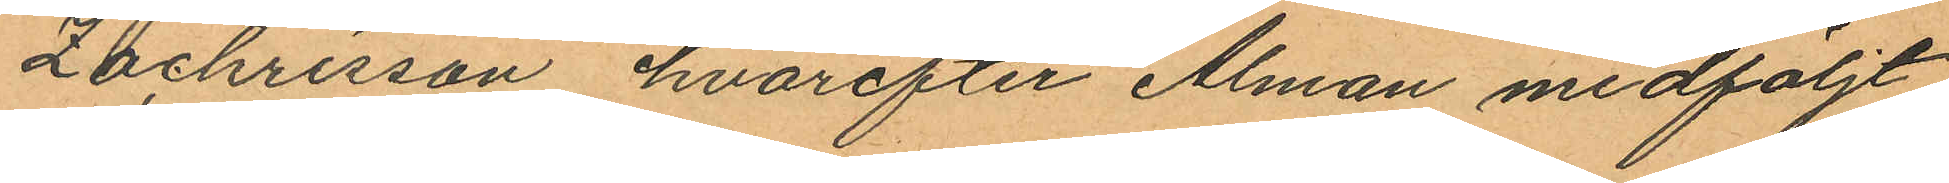Zachrisson hvarefter Alman medföljt
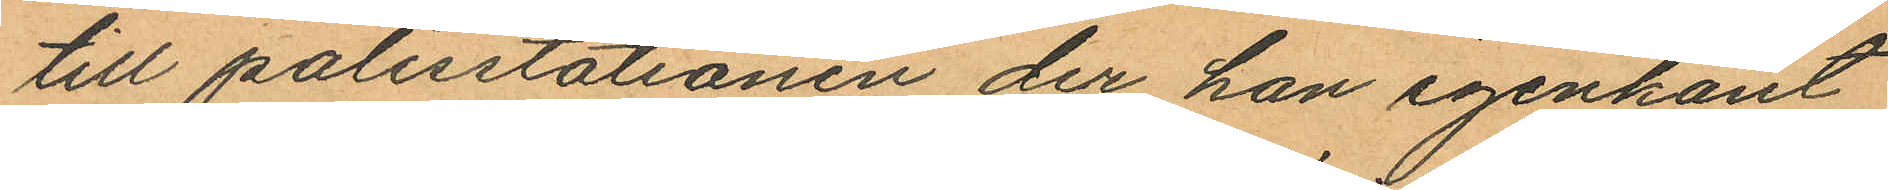till polisstationen der han igenkänt
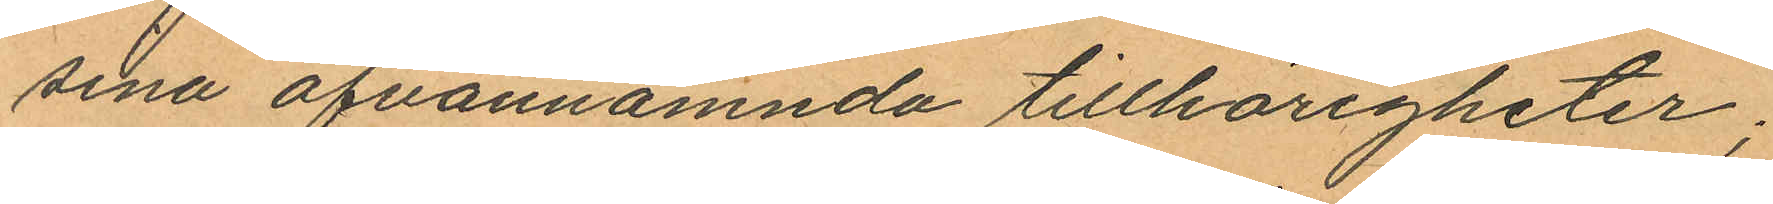sina ofvannämnda tillhörigheter;
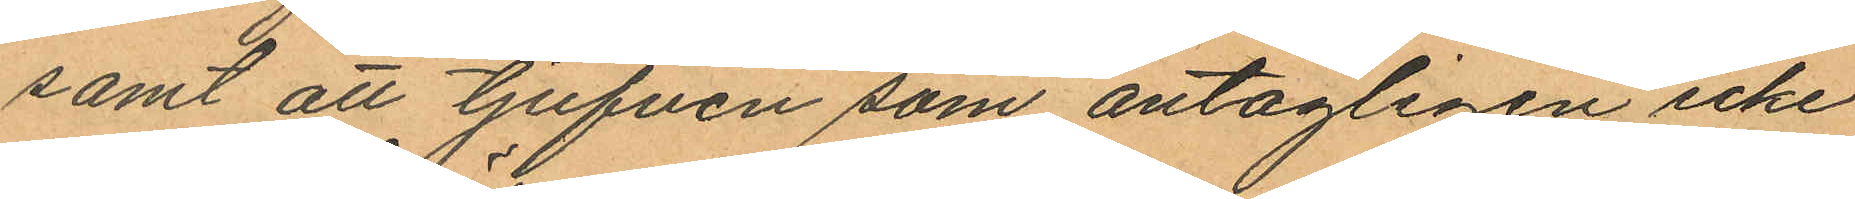samt att tjufven som antagtigen icke
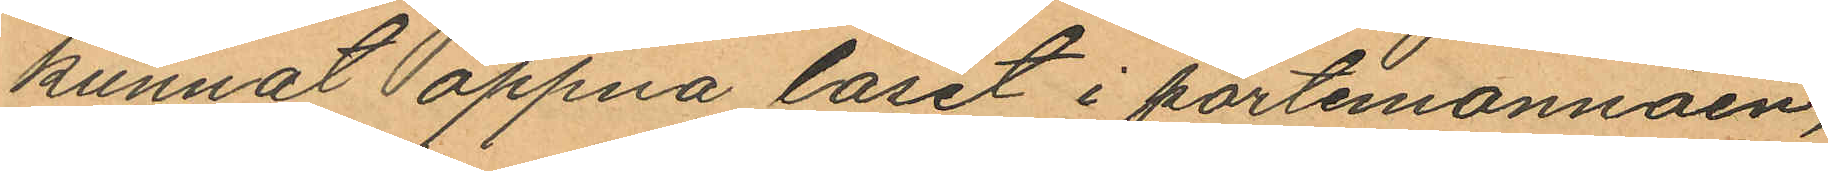kunnat öppna låset i portemonnäen,
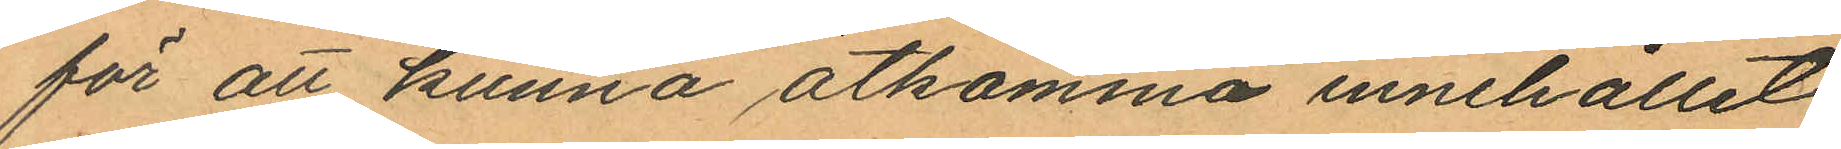för att kunna åtkomma innehållet
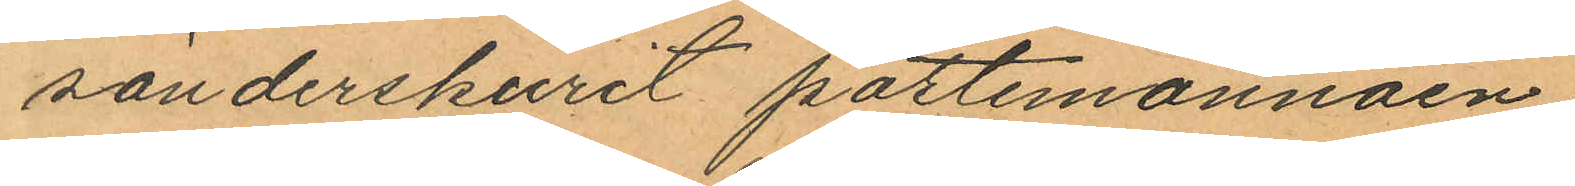sönderskurit portemonnäen.
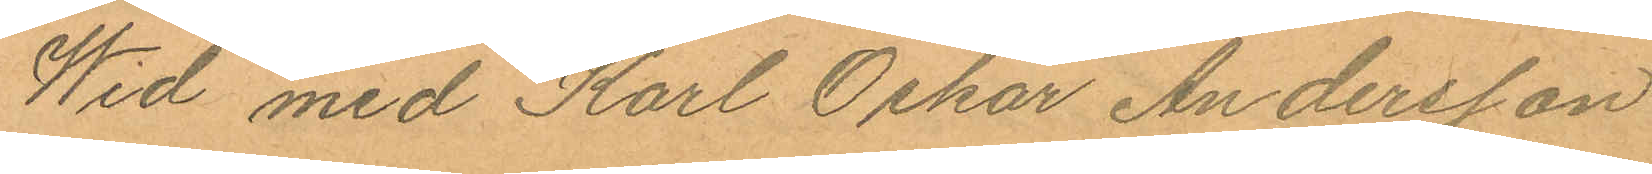Wid med Karl Oskar Andersson
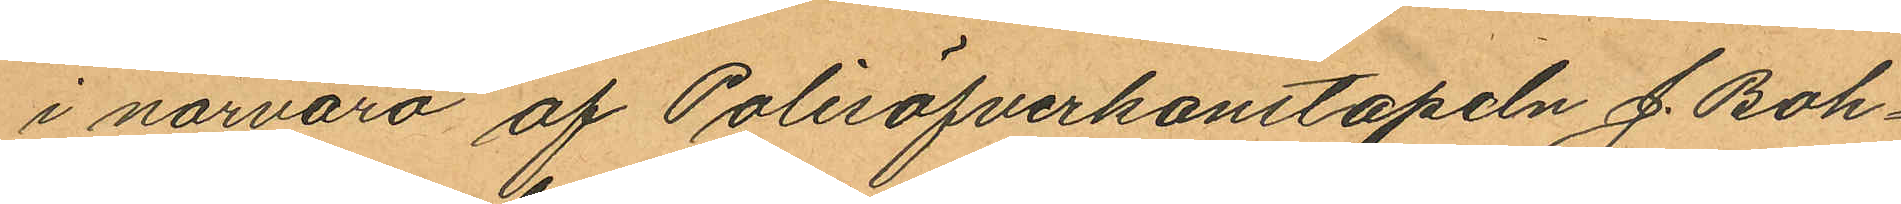i närvaro af Polisöfverkonstapeln J. Boh¬
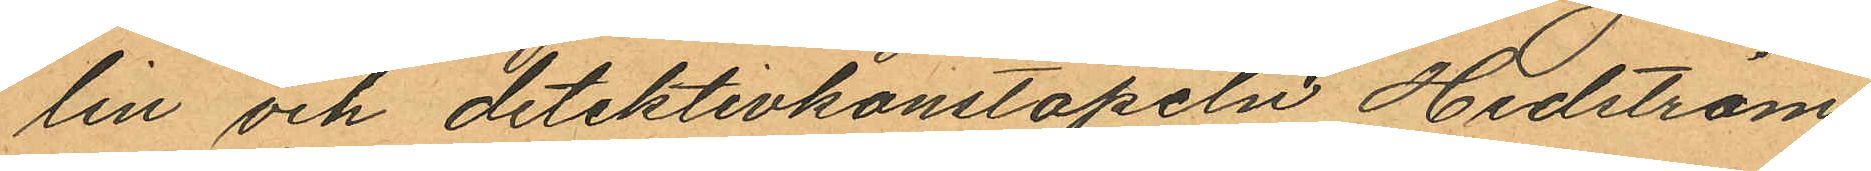lin och detektivkonstapeln Hedström
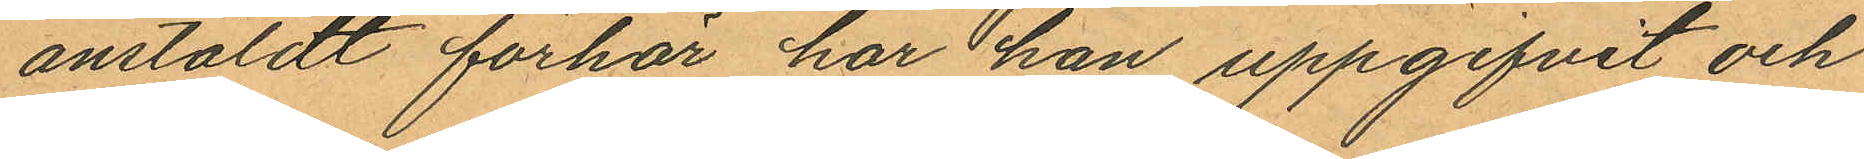anstäldt förhör har han uppgifvit och
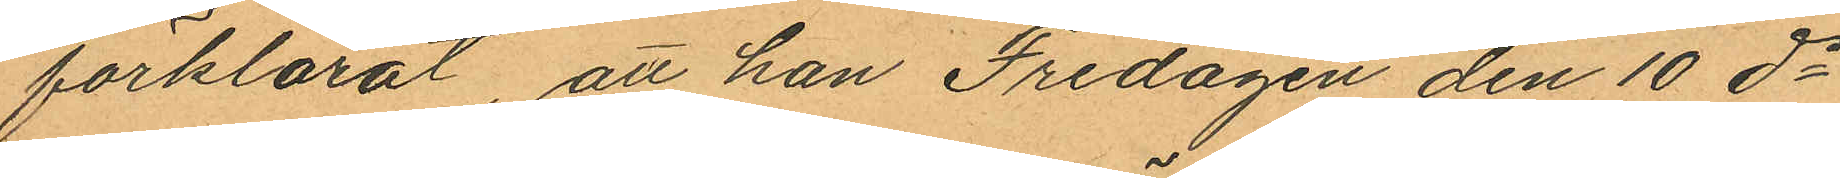förklarat, att han Fredagen den 10 ds
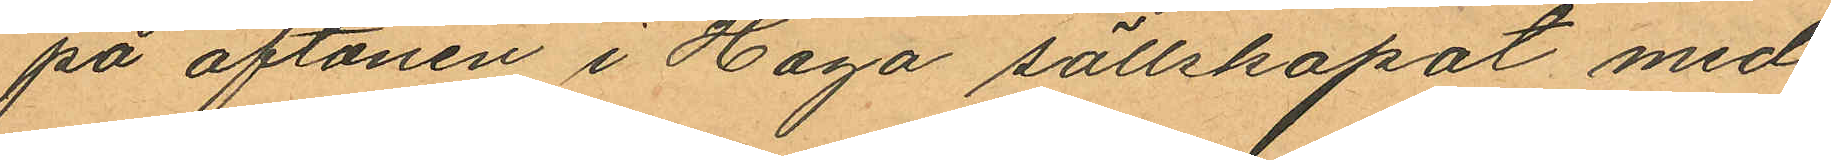på aftonen i Haga sällskapat med
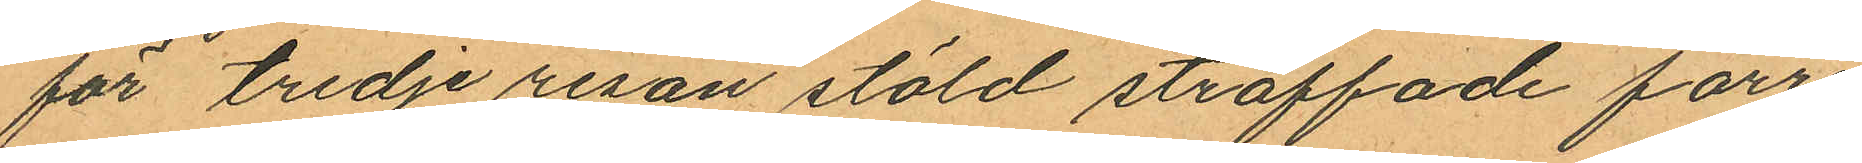för tredje resan stöld straffade förre
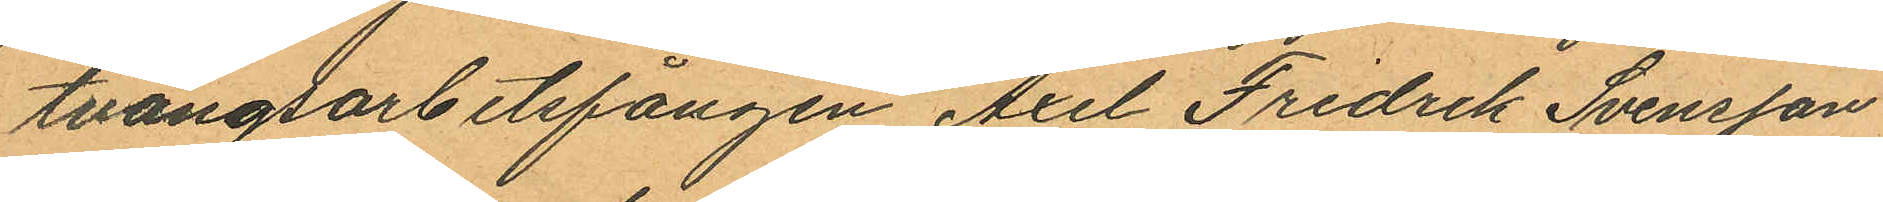tvångsarbetsfången Axel Fredrik Svensson
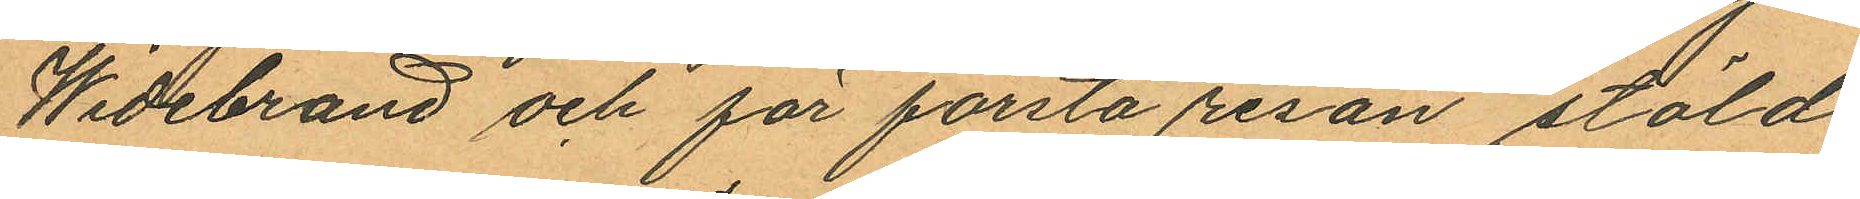Widebrand och för första resan stöld
